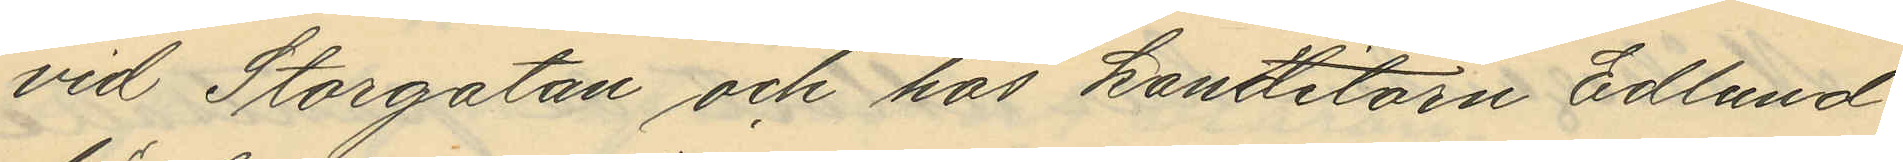vid Storgatan och hos Kondlitorn Edlund
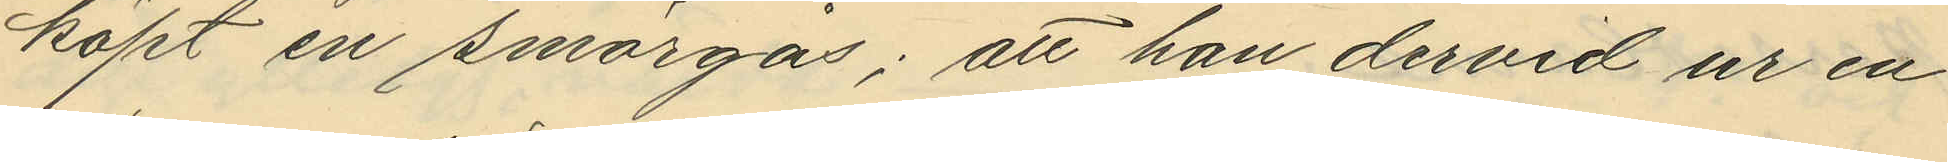köpt en smörgås; att han dervid ur en
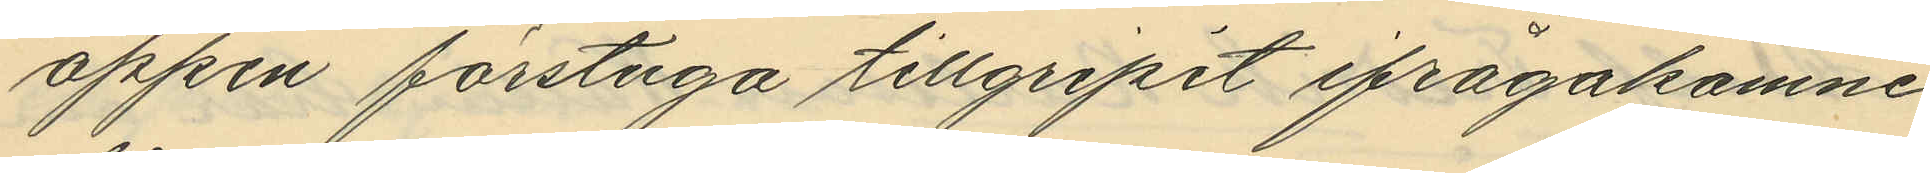öppen förstuga tillgripit ifrågakomne
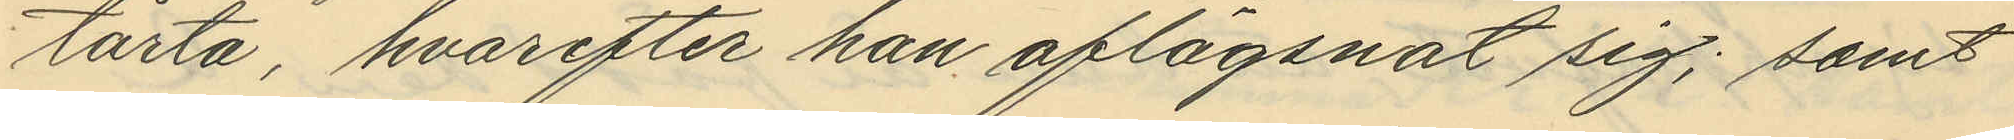tårta, hvarefter han aflägsnat sig; samt
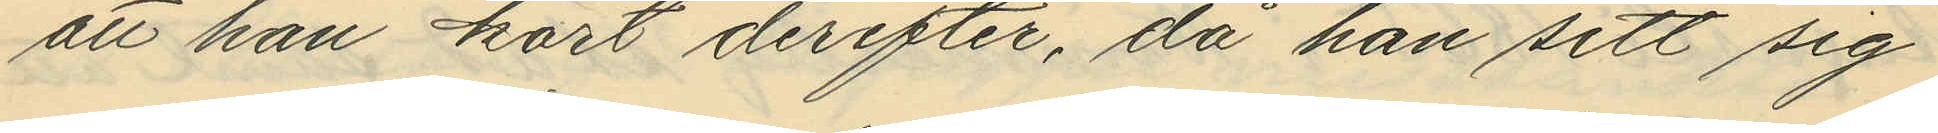att han kort derefter, då han sett sig
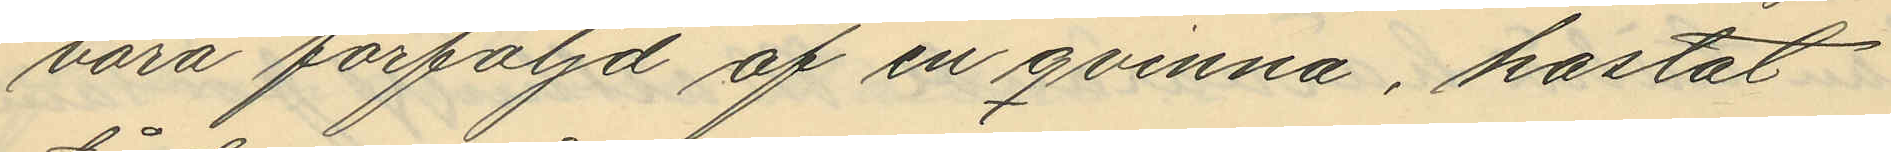vara förföljd af en qvinna, kastat
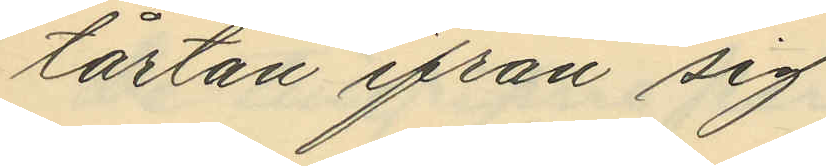tårtan ifrån sig
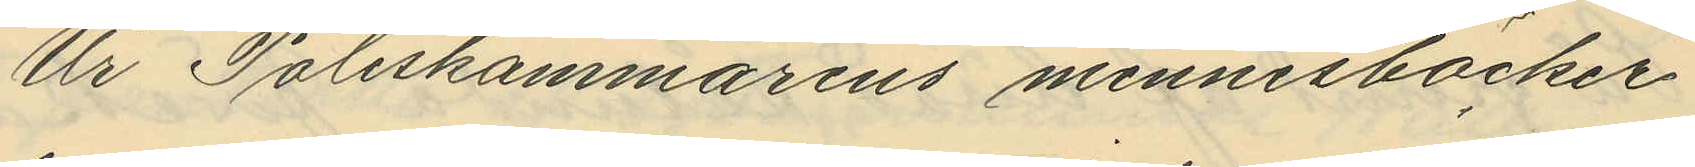Ur Poliskammarens minnesböcker
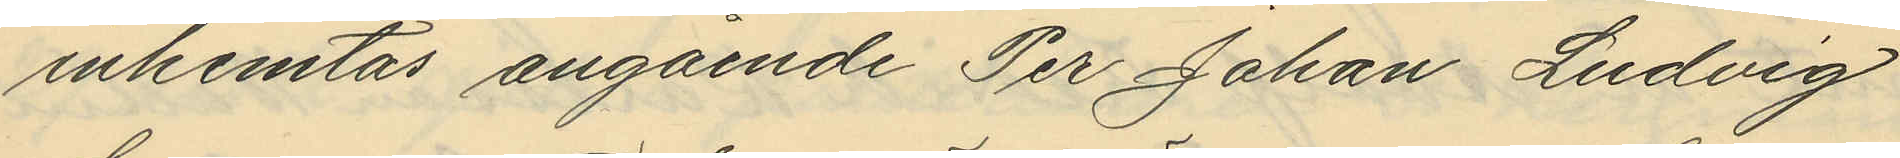inhemtas angående Per Johan Ludvig
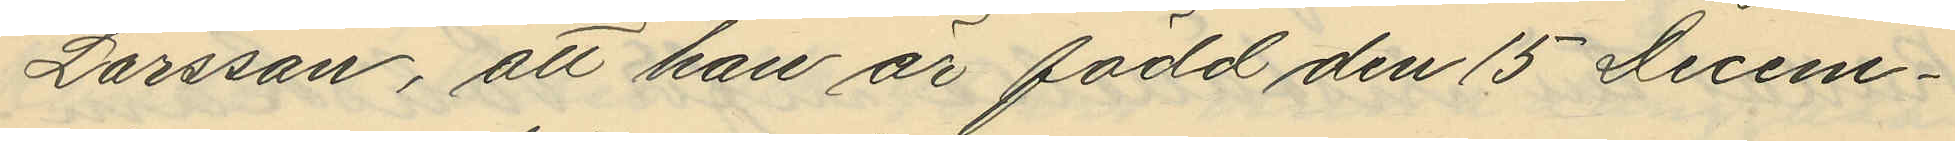Larsson, att han är född den 15 Decem¬
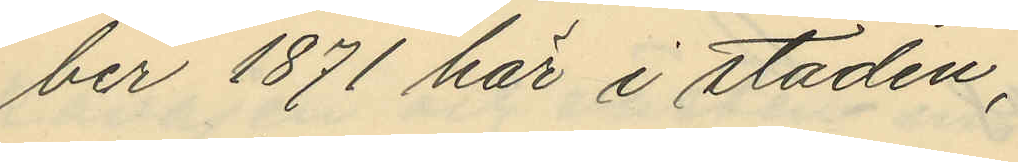ber 1871 här i staden,
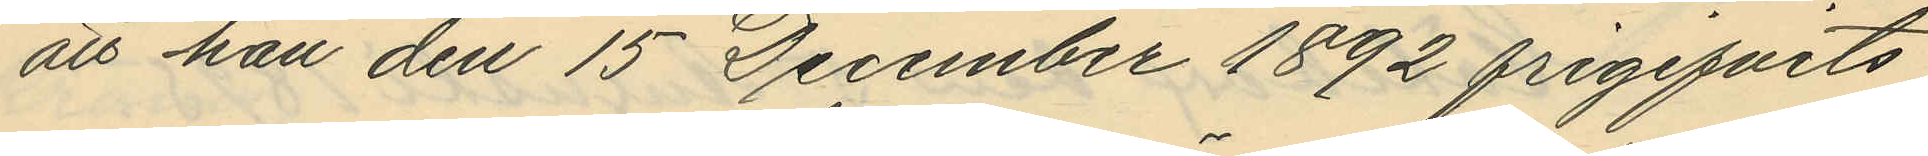att han den 15 December 1892 frigifvits
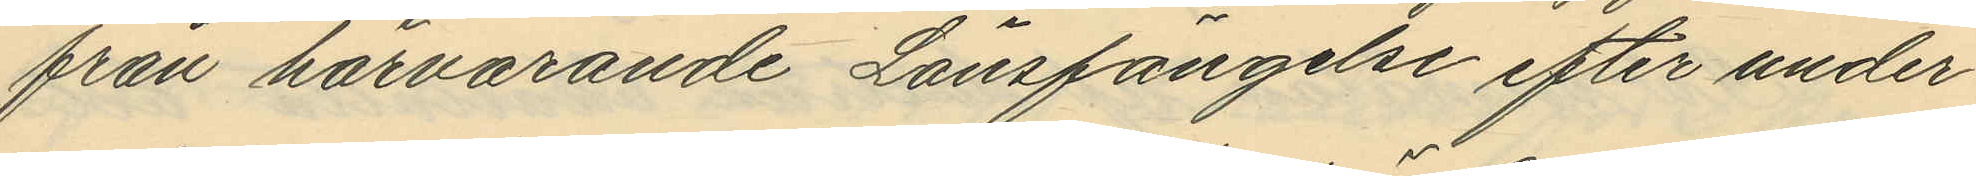från härvarande Länsfängelse efter under¬
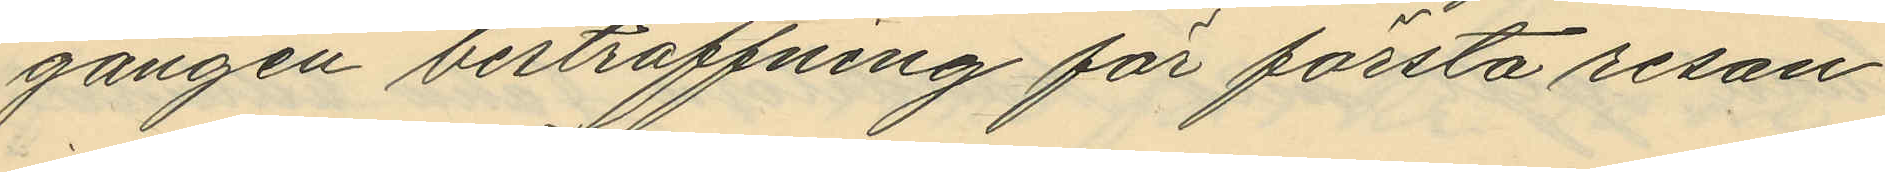gången bestraffning för första resan
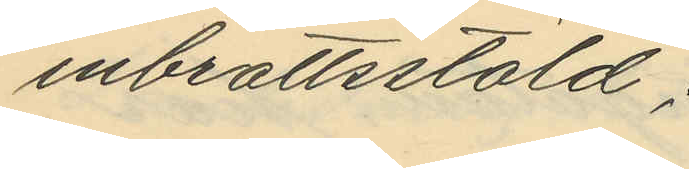inbrottsstöld;
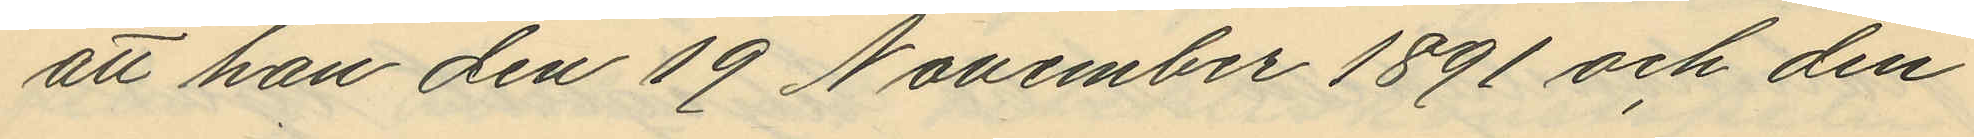att han den 19 November 1891 och den
